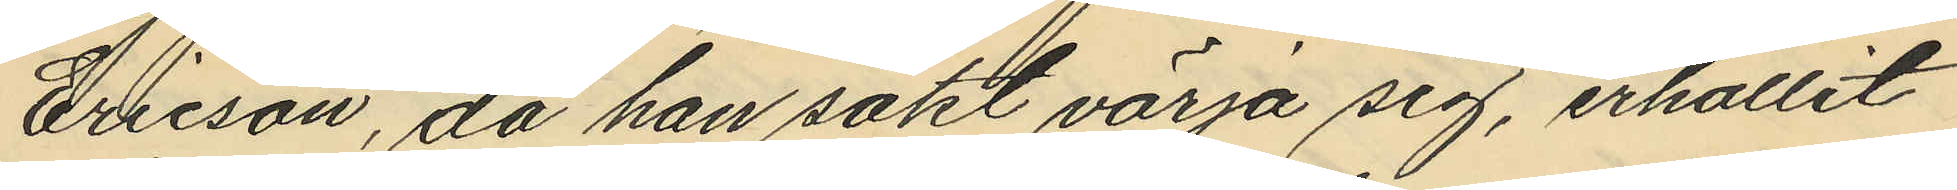Ericson, då han sökt värja sig, erhållit
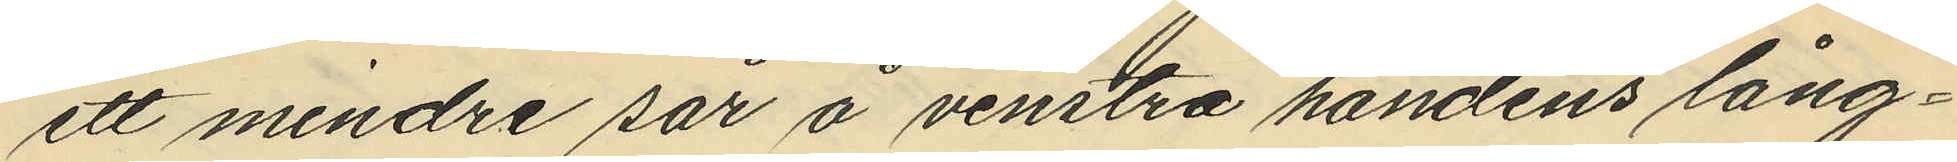ett mindre sår å venstra handens lång¬
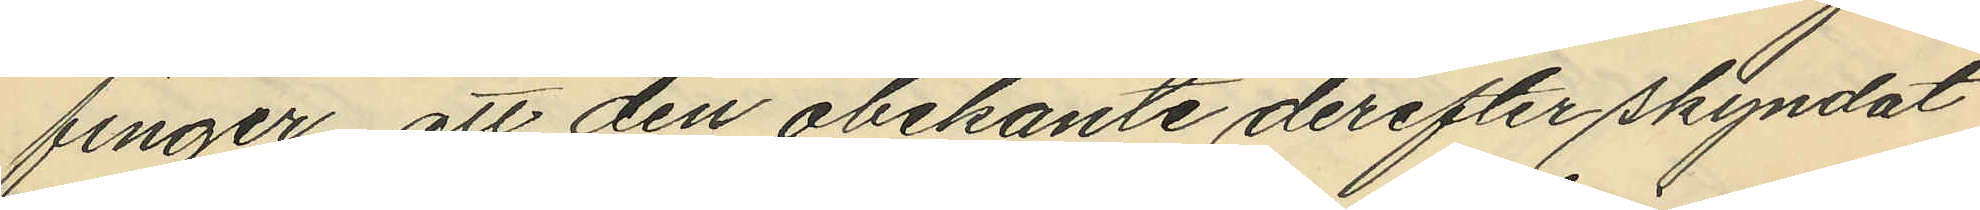finger, att den obekante derefter skyndat
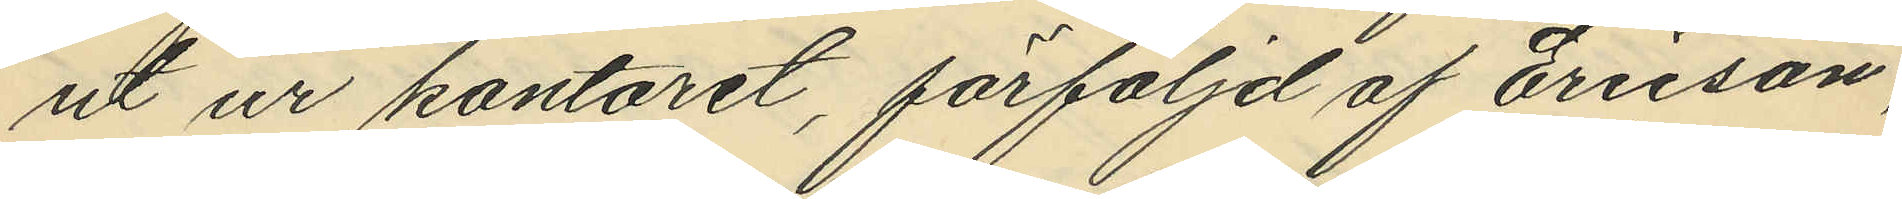ut ur kontoret, förföljd af Ericson,
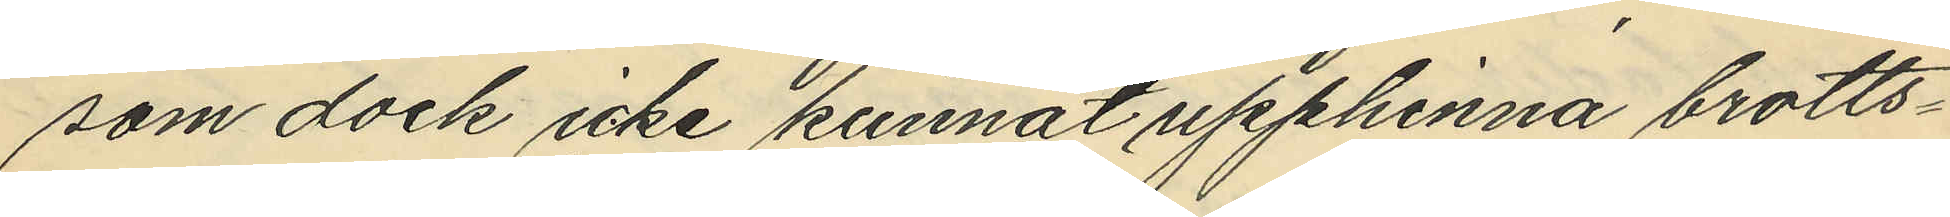som dock icke kunnat upphinna brotts¬
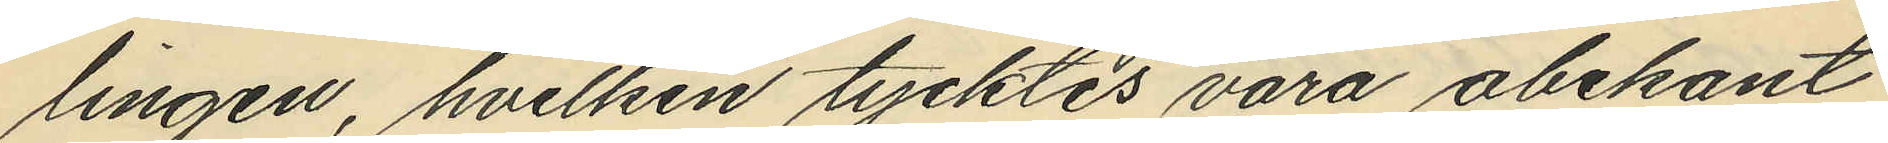lingen, hvilken tycktes vara obekant
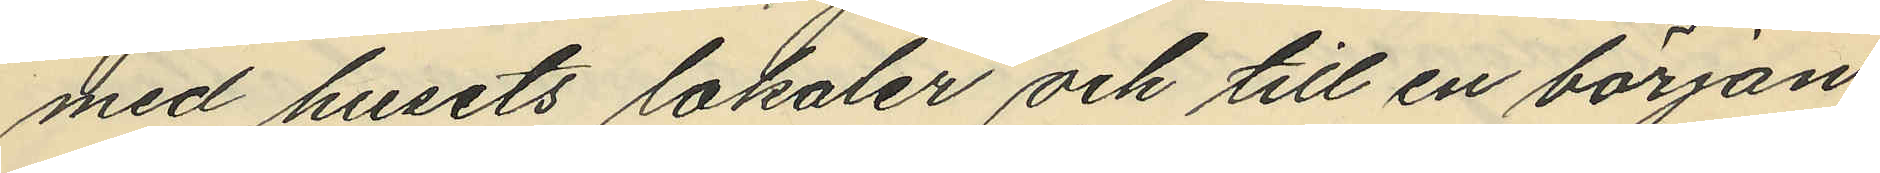med husets lokaler och till en början
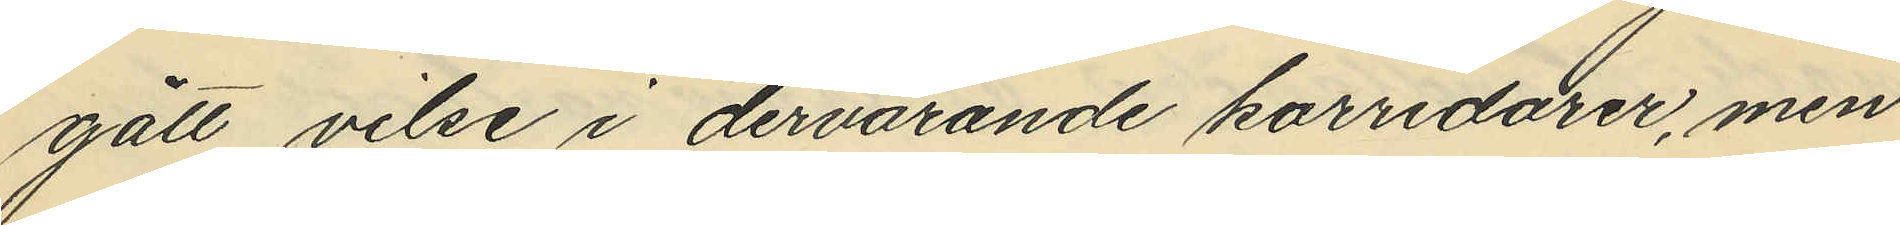gått vilse i dervarande korridorer, men
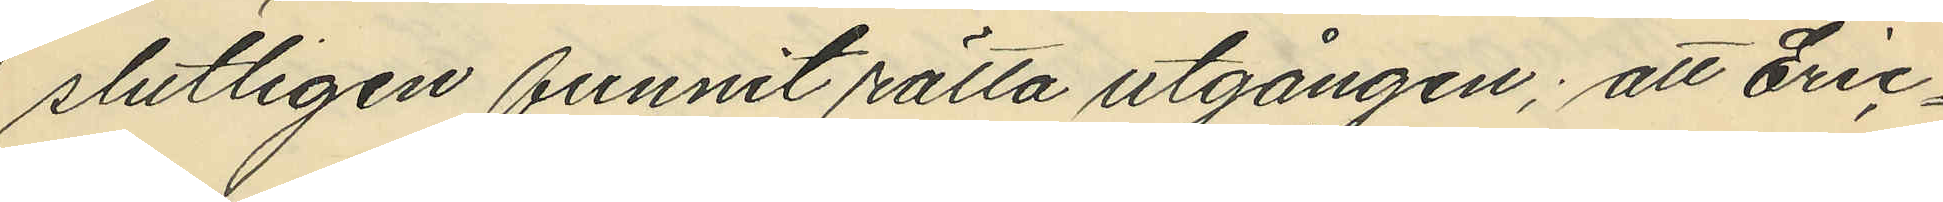slutligen funnit rätta utgången; att Eric¬
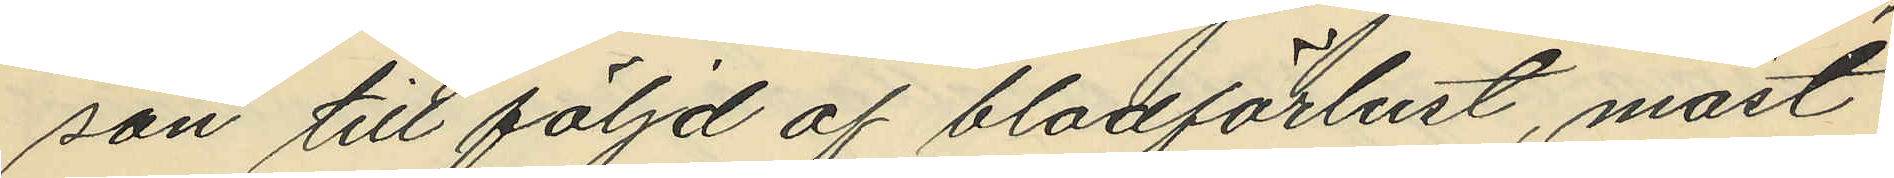son till följd af blodförlust, måst
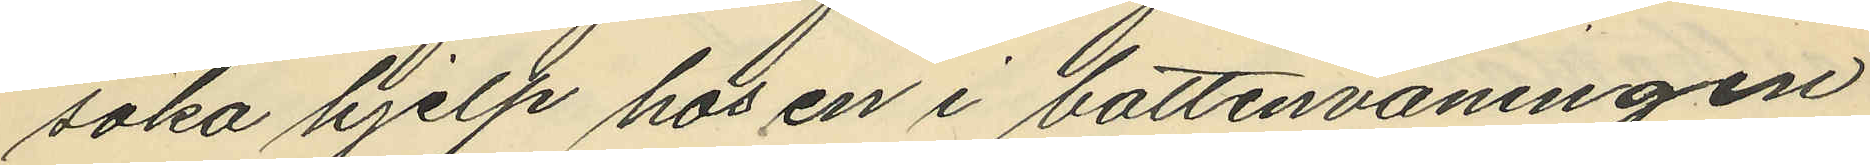söka hjelp hos en i bottenvåningen
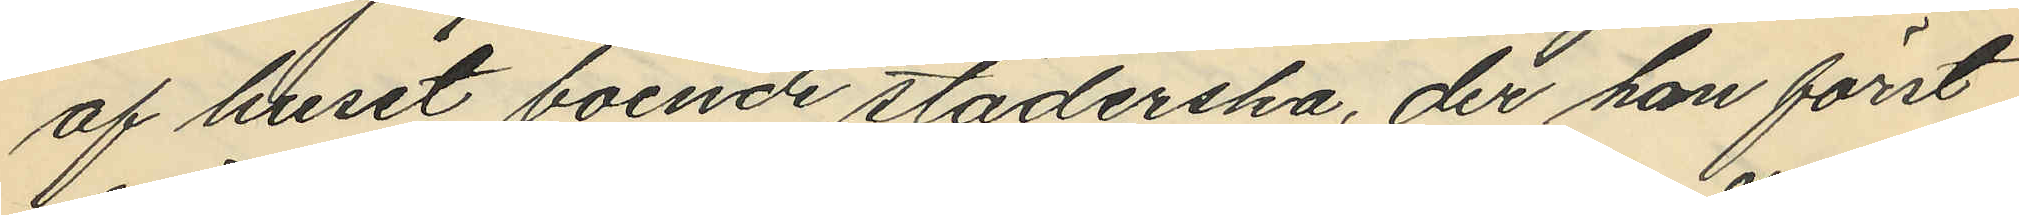af huset boende städerska, der han först
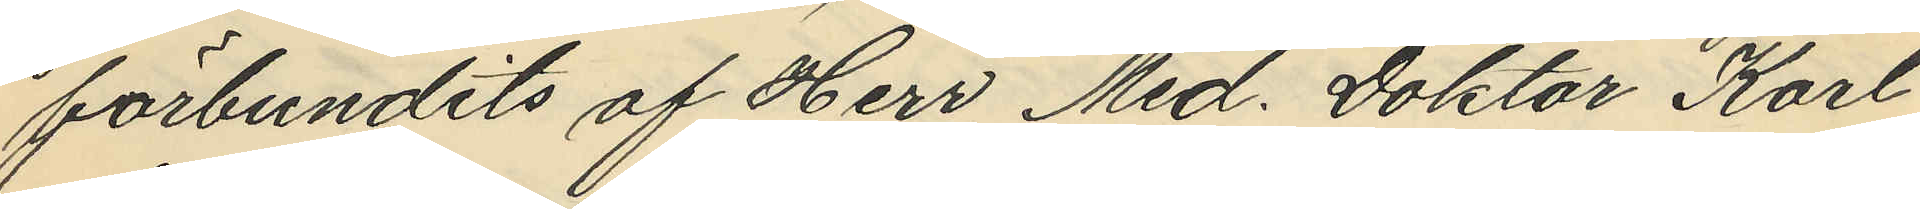förbundits af Herr Med. Doktor Karl
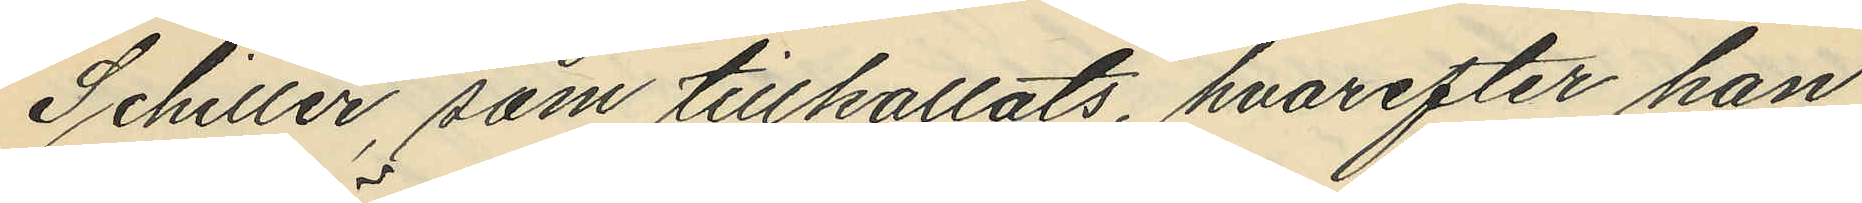Schiller, som tillkallats, hvarefter han
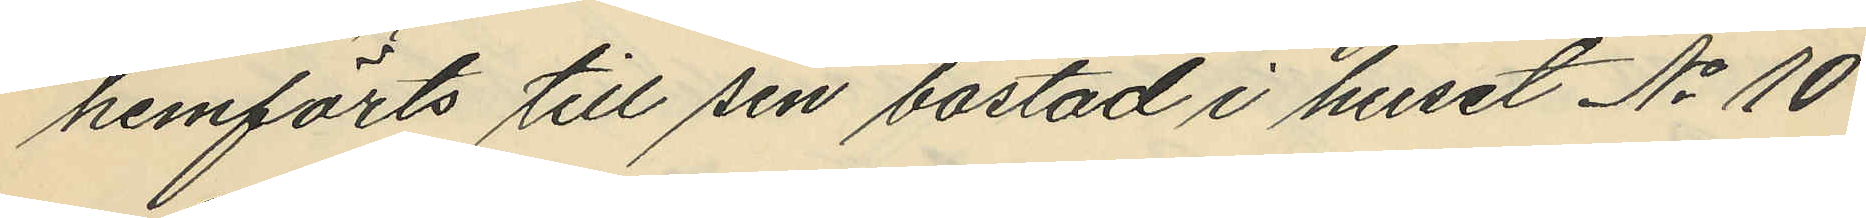hemförts till sin bostad i huset No 10
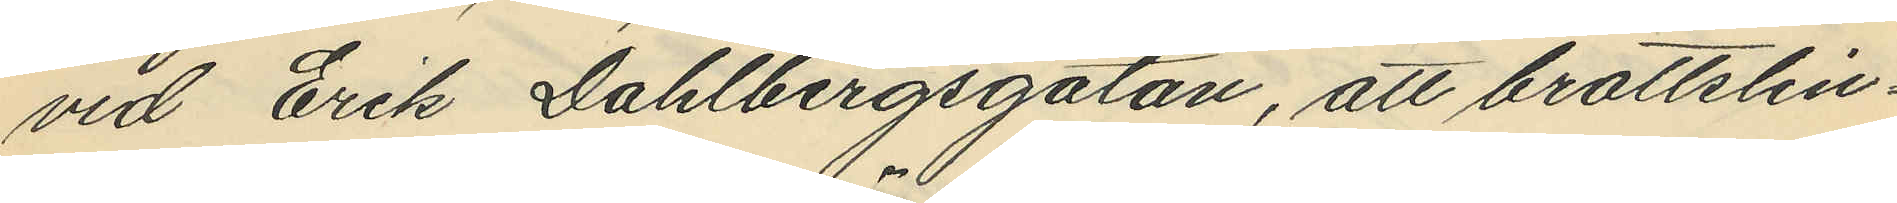vid Erik Dahlbergsgatan, att brottslin¬
